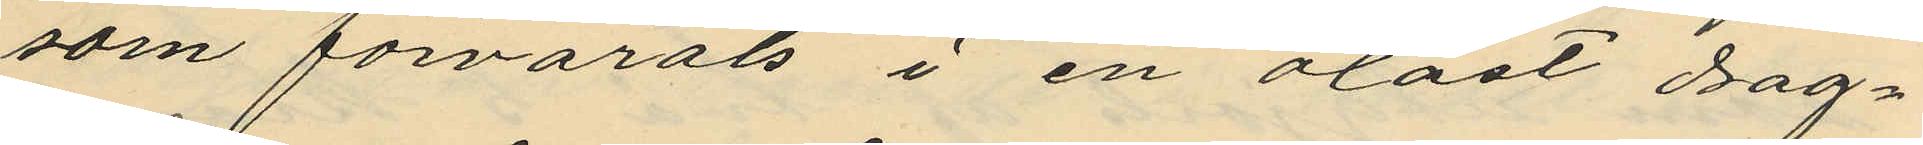som förvarats i en olåst drag¬
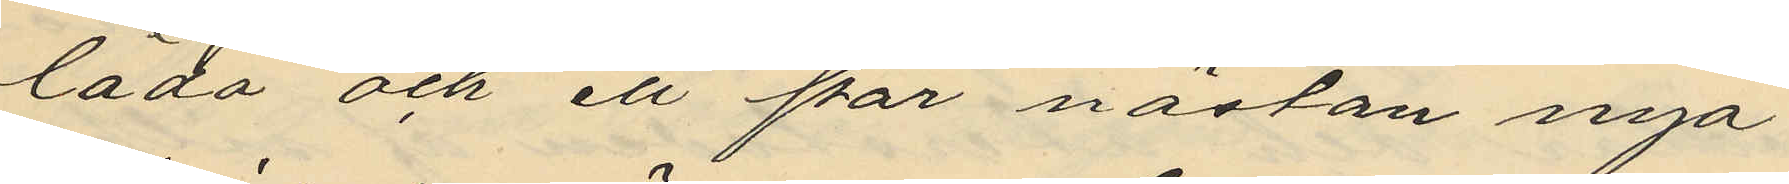låda och ett par nästan nya
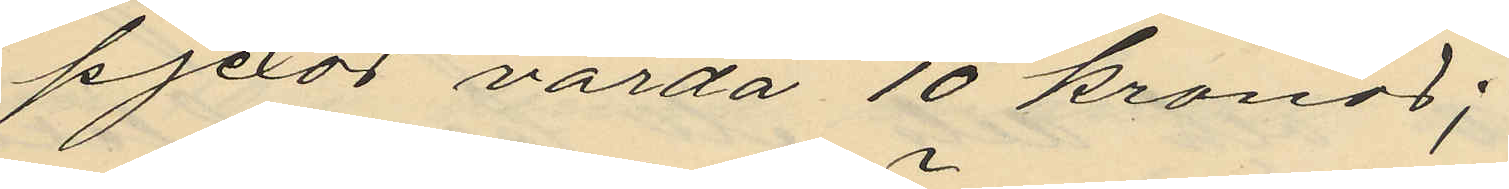pjexor värda 10 kronor;
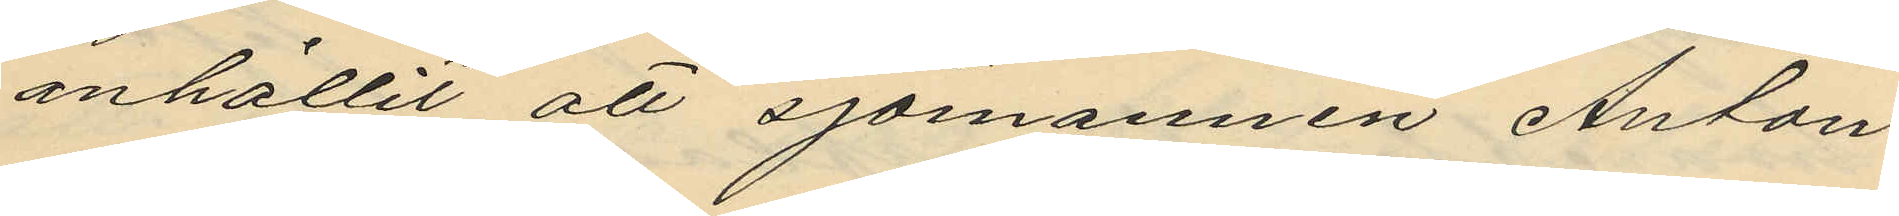anhållit att Sjömannen Anton
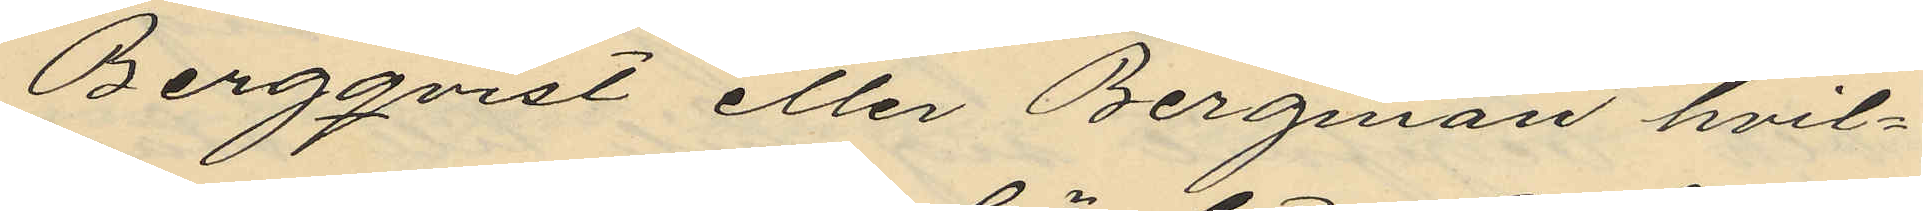Bergqvist eller Bergman hvil¬
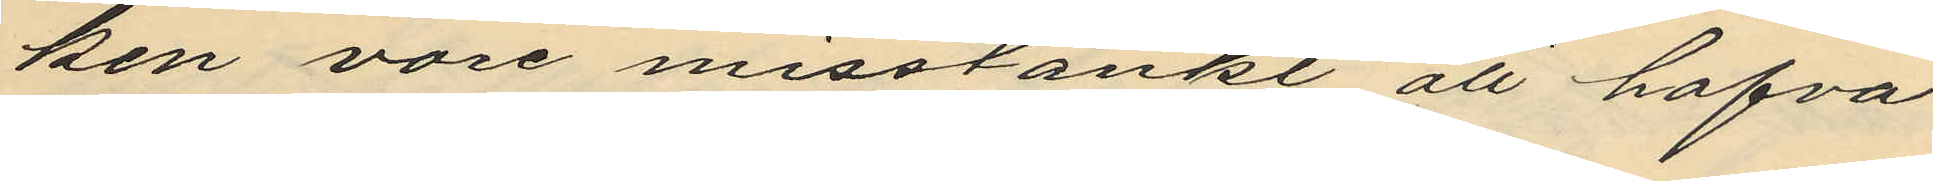ken vore misstänkt att hafva
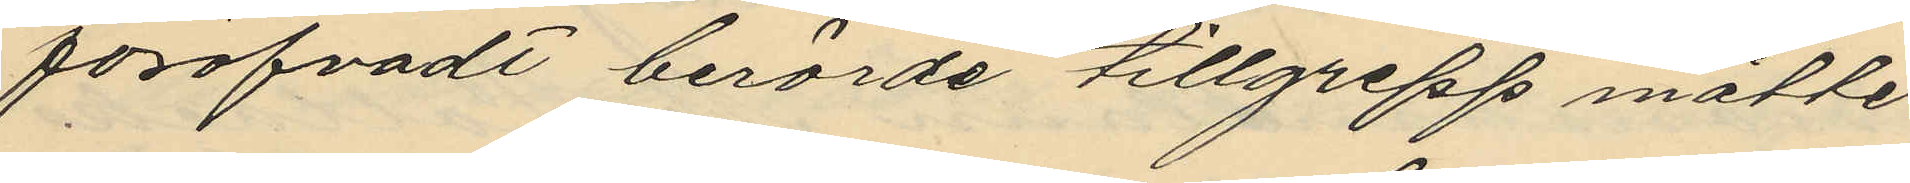föröfvadt berörde tillgrepp måtte
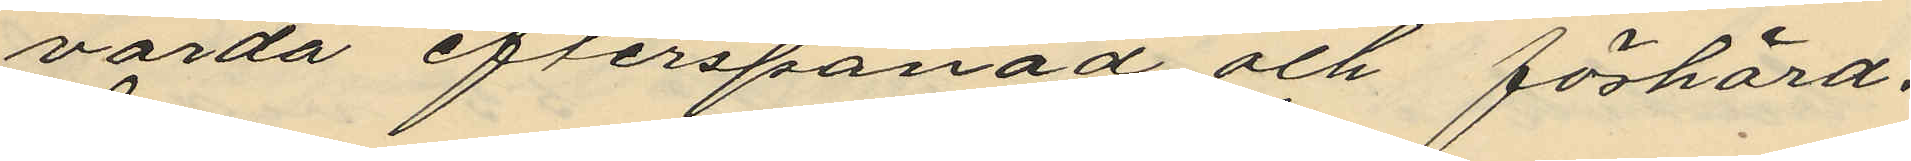varda efterspanad och förhörd.
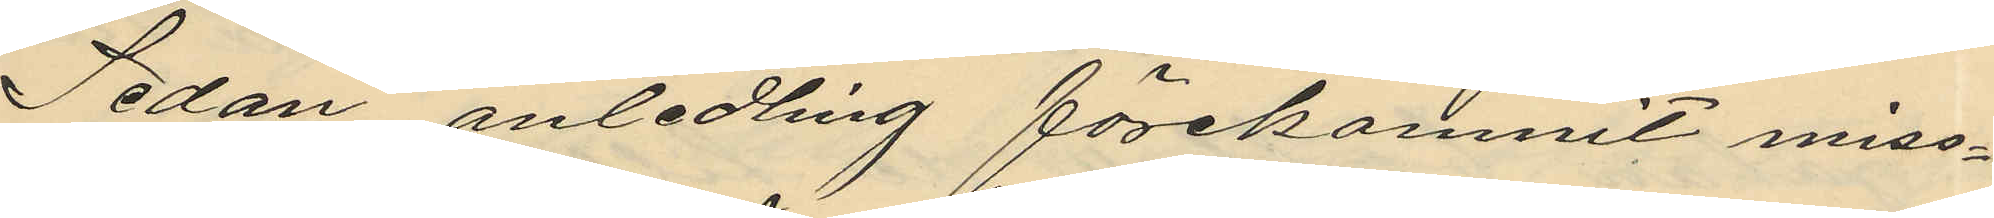Sedan anledling förekommit miss¬
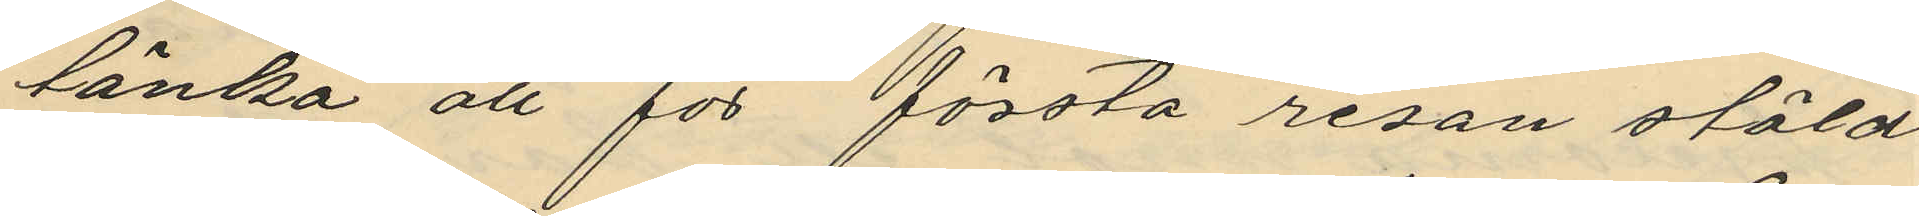tänka att för första resan stöld
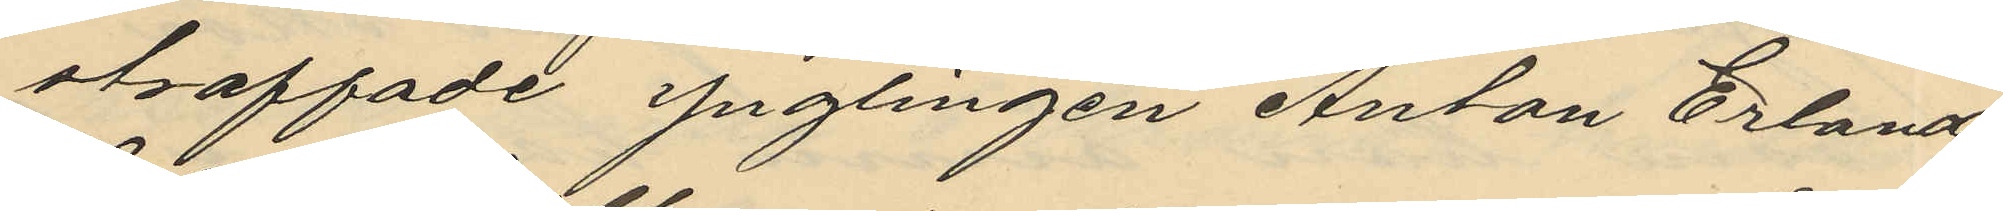straffade ynglingen Anton Erland
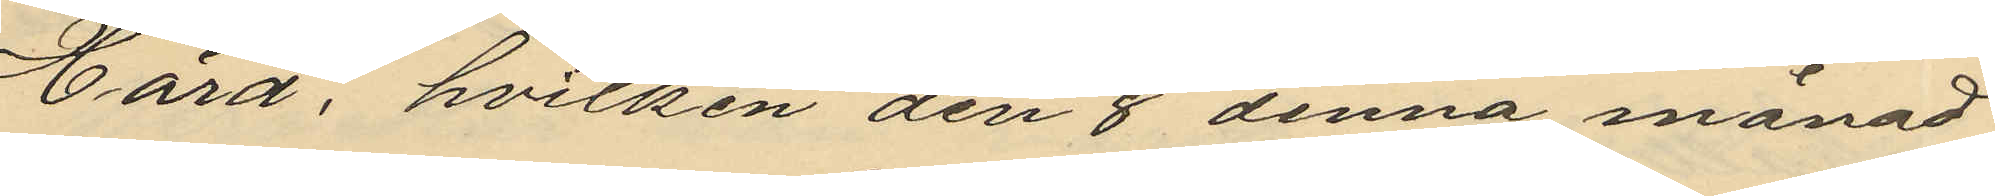Hård, hvilken den 8 denna månad
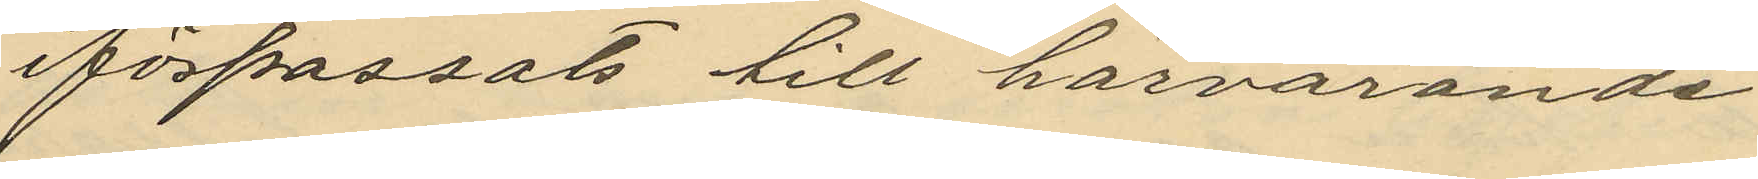förpassats till härvarande
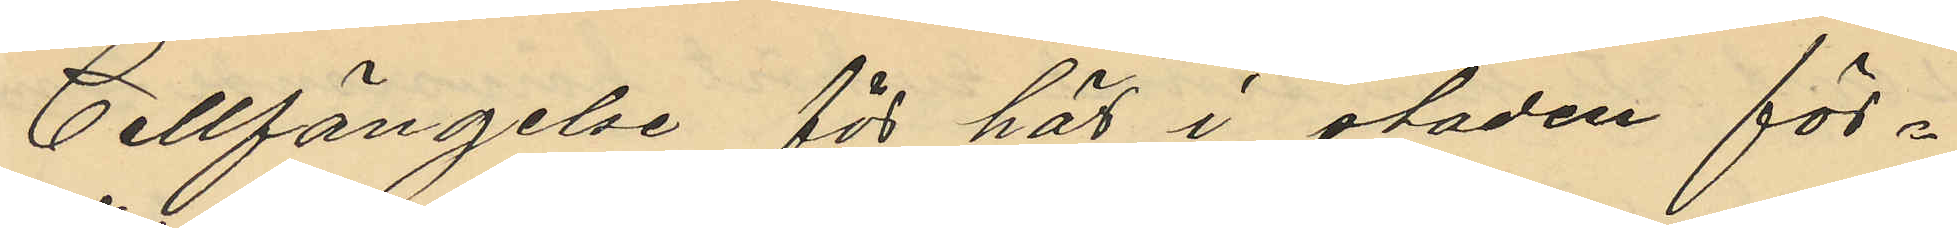Cellfängelse för här i staden för¬
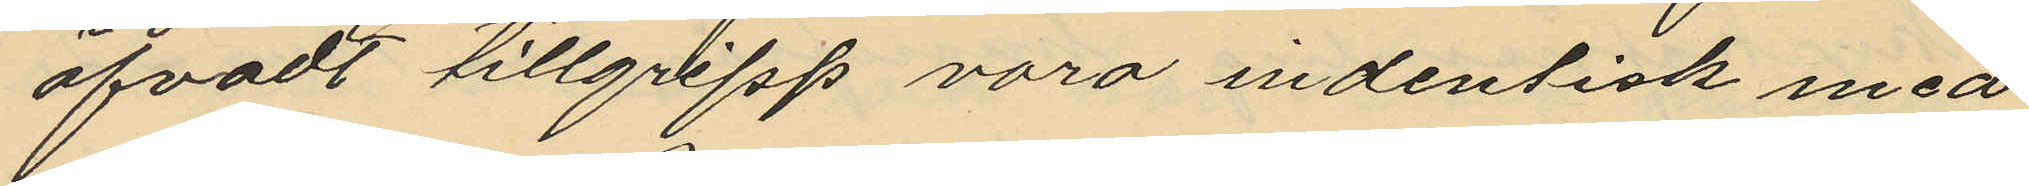öfvadt tillgripp vara indentisk med
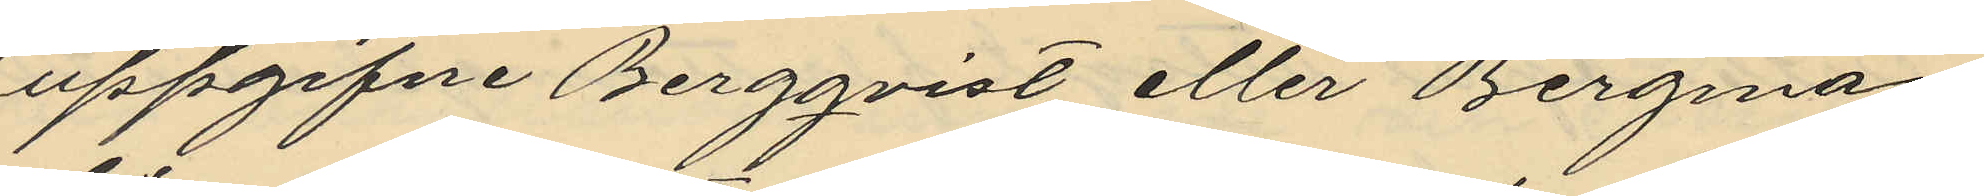uppgifne Bergqvist eller Bergman,
